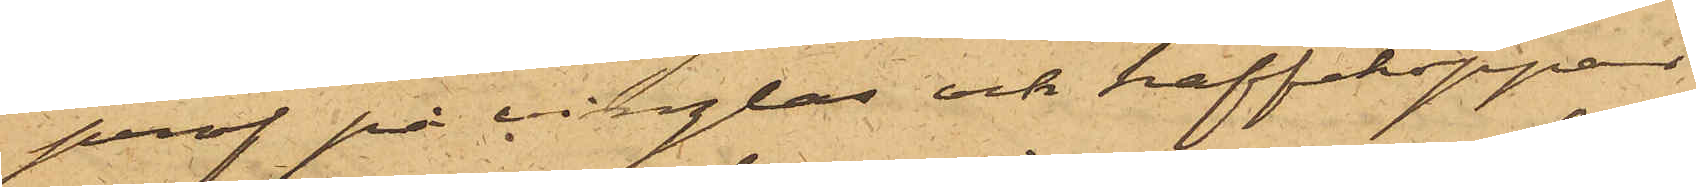prof på vinglas och kaffekoppar
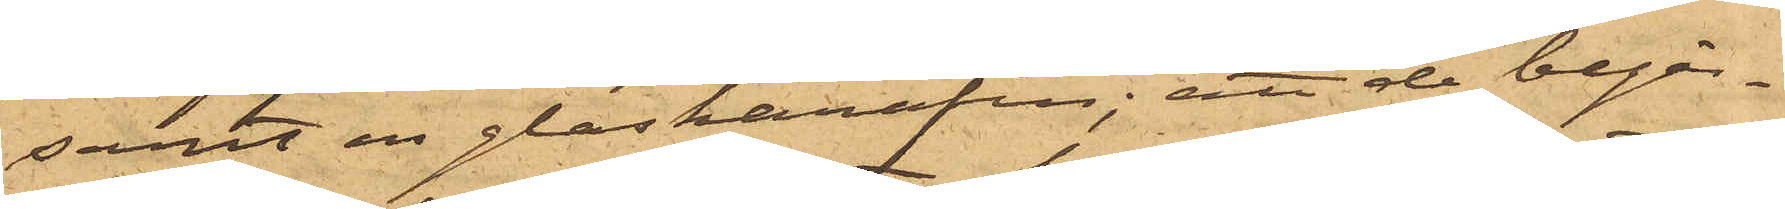samt en glaskarafin; att de begär¬
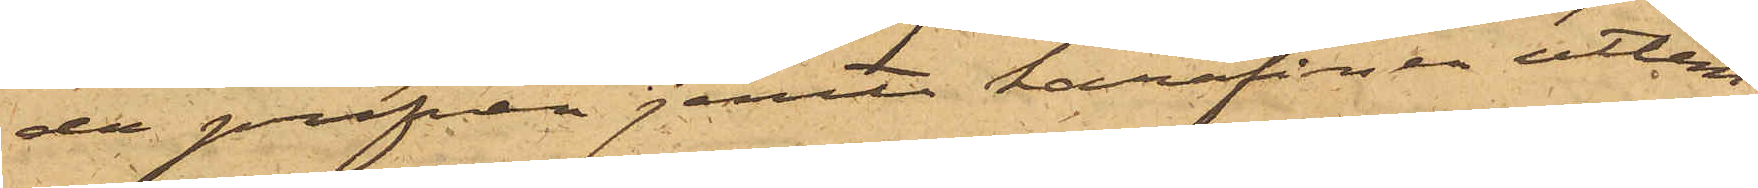de profven jemte karafinen utlem¬
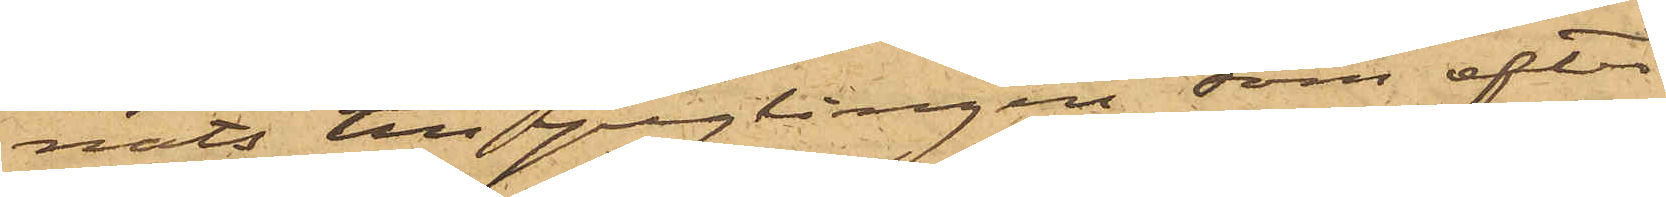nats till ynglingen, som efter
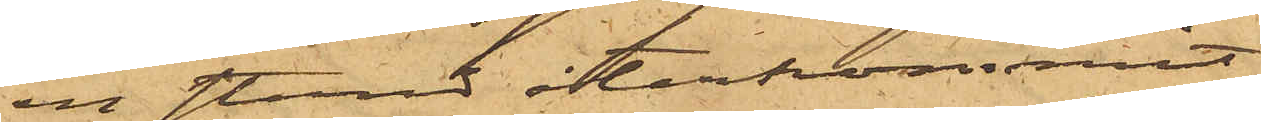en stund återkommit
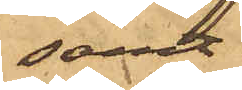samt
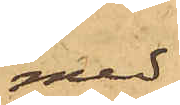med
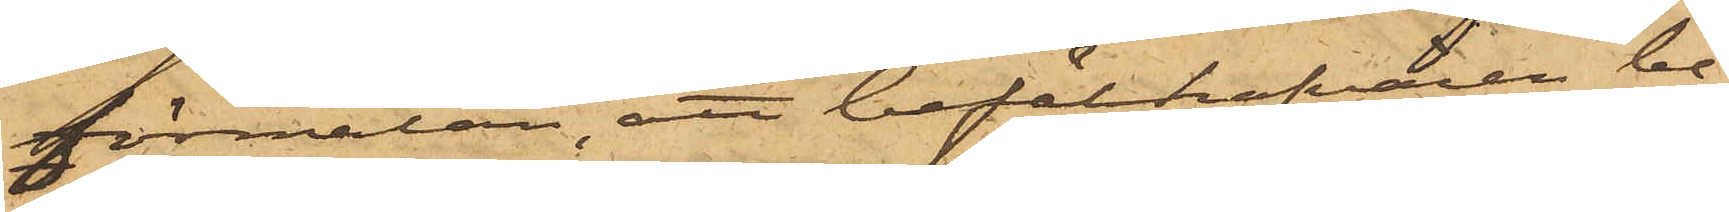förmälan, att befälhafvaren be¬
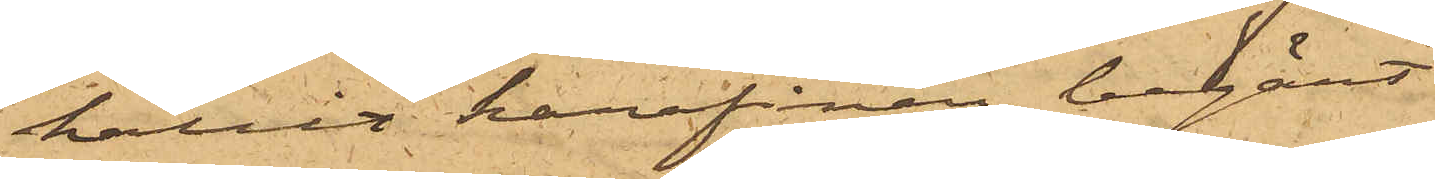hållit karafinen, begärt
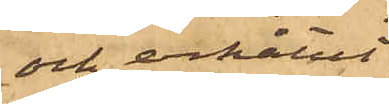och erhållit
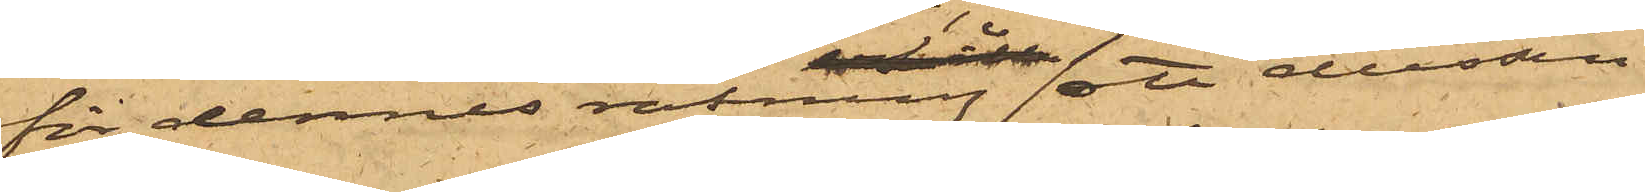för dennes räkning ett dussin
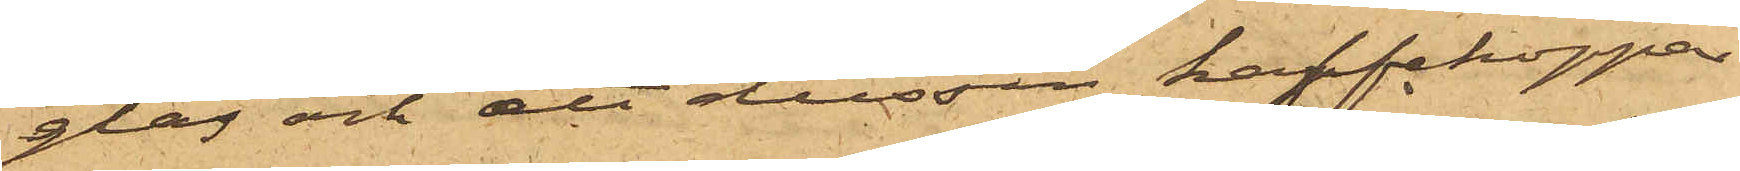glas och att dussin kaffekoppar
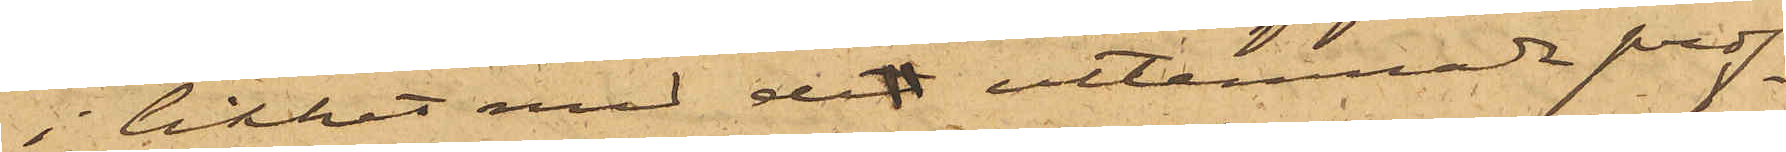i likhet med det utlemnade prof¬
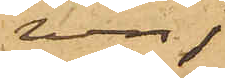ven;
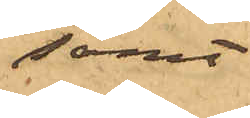samt
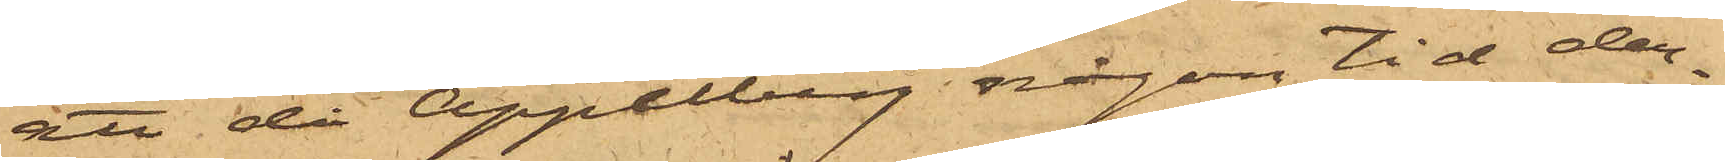att då Appelberg någon tid der¬
